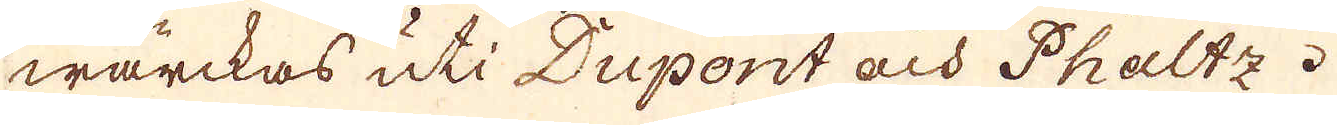wärckas uti Dupont och Phaltz.
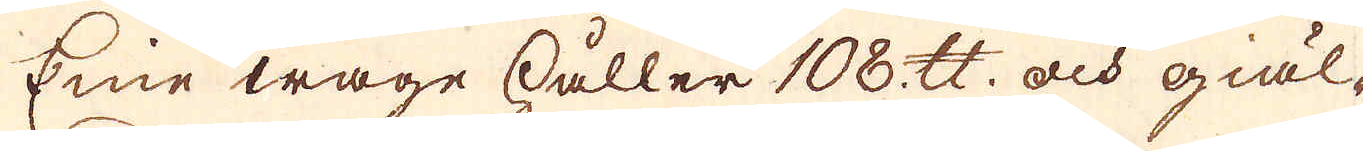Eine wage håller 108 skålpund och giäl-
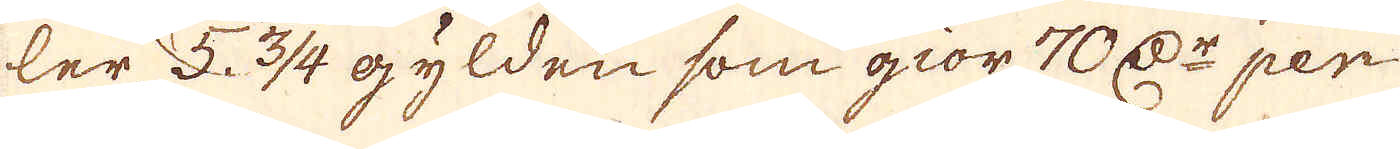ler 5 3/4 gylden som giör 70 D:r per
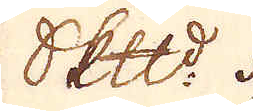skeppund.
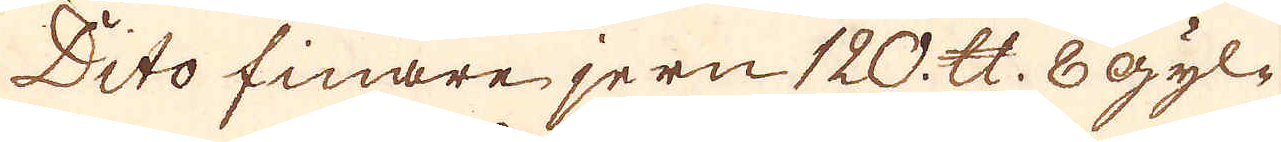Dito finare jern 120 skålpund 8 Gyl-
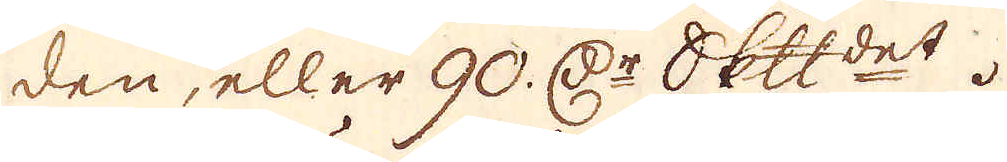den, eller 90 D:r skeppundet.
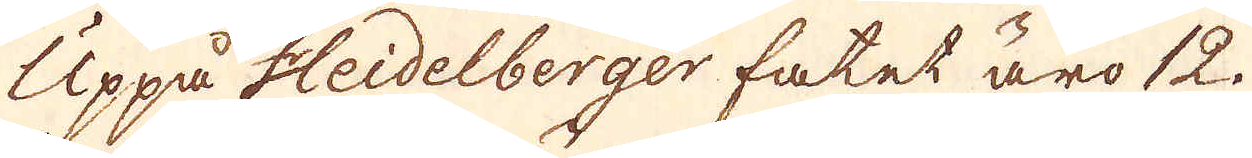Uppå Heidelberger fatet äro 12
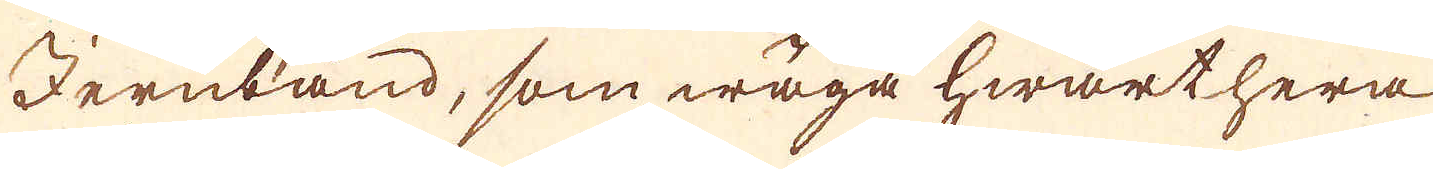Jernband, som wäga hwarthera
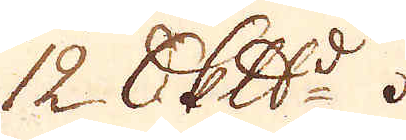12 skeppund.
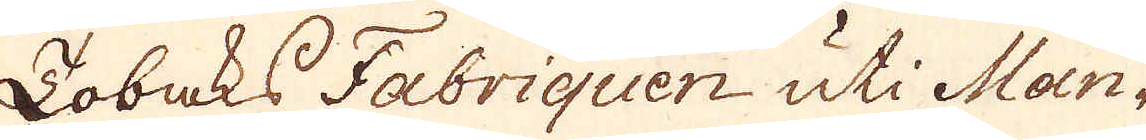Tobaks Fabriquen uti Man-
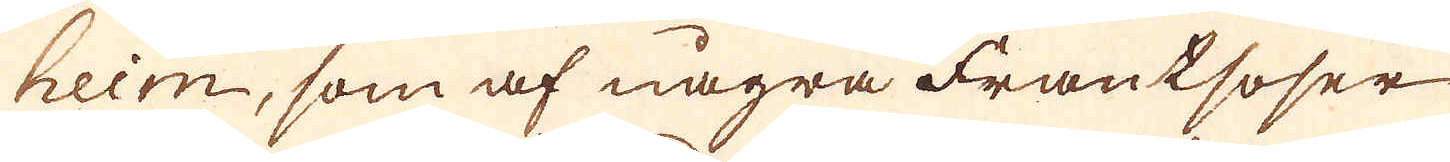heim, som af några Frantsoser
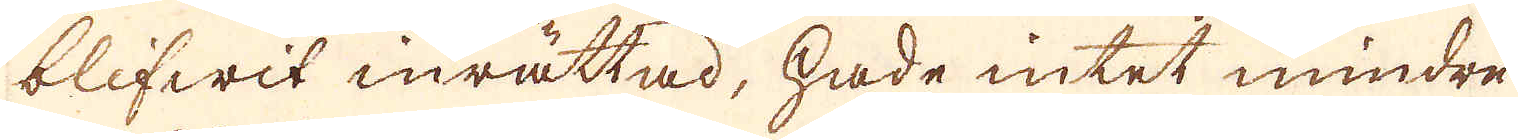blifwit inrättad, hade intet mindre
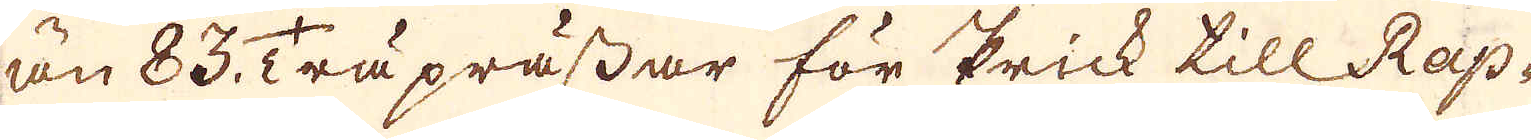än 83 Träprässar för Prick till Rap-
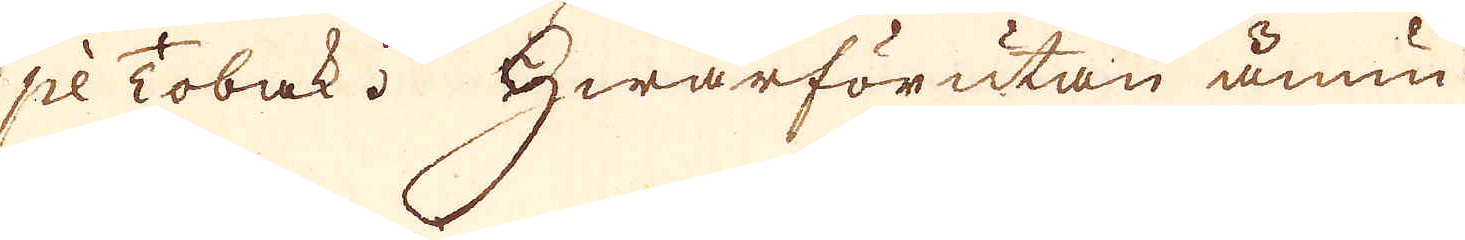pé Tobak. Hwarförutan ännu
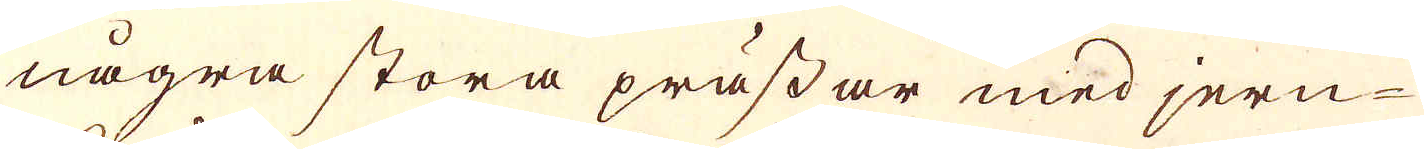några stora prässar med jern-
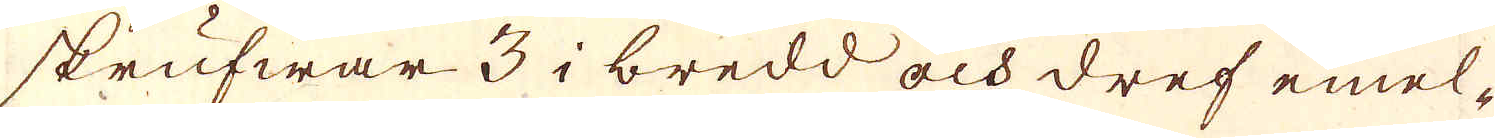skrufwar 3 i bredd och dref emel-
